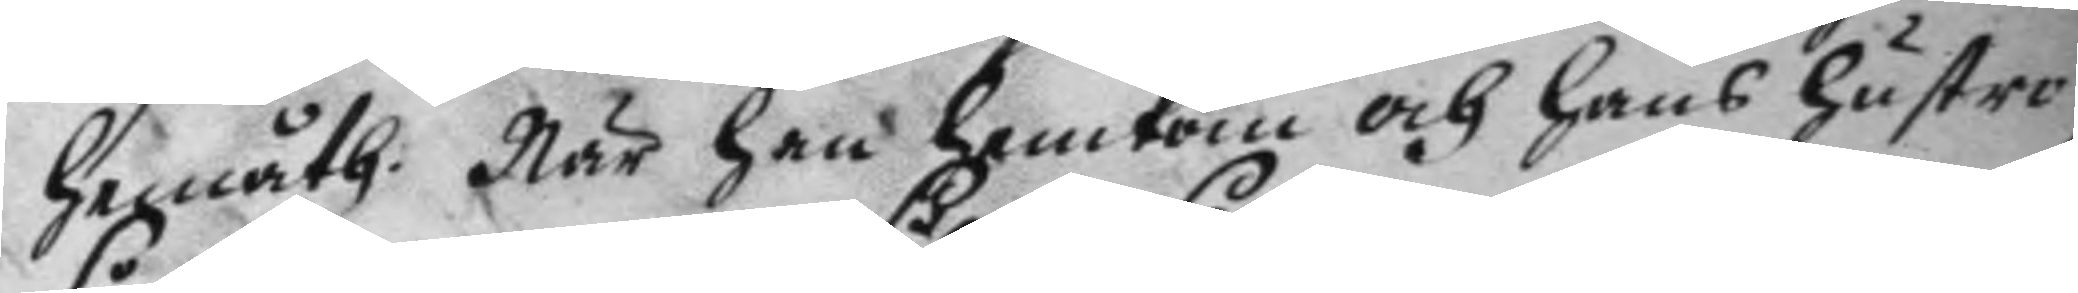hemåth. När han hemkom och hans hustru
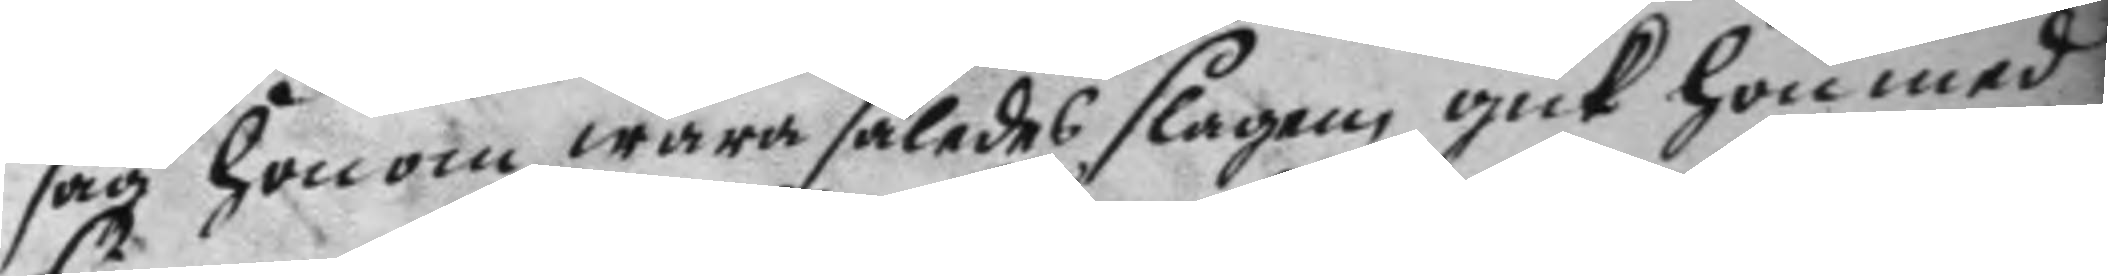såg honom wara således slagen, gick hon med
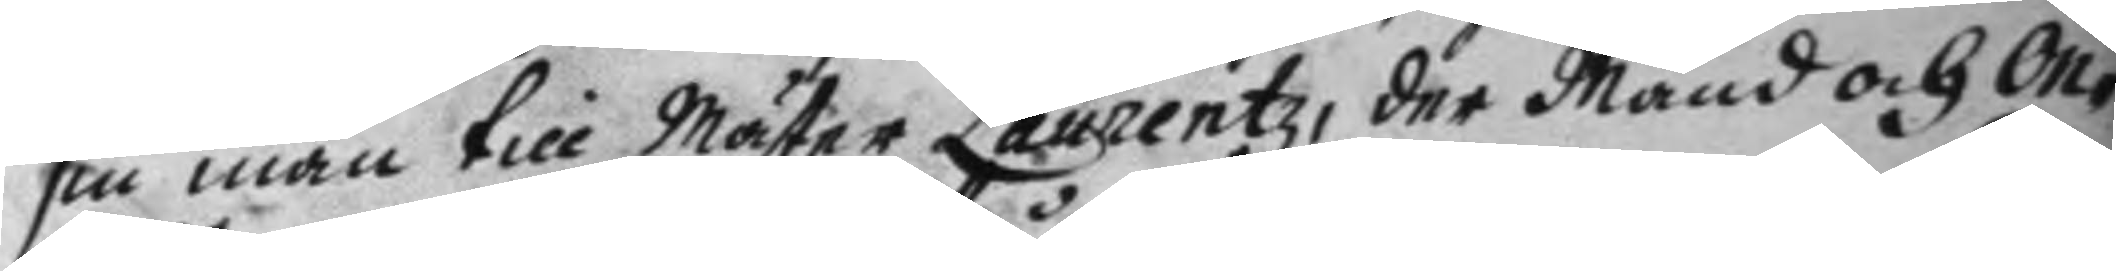sin man till Mäster Laurentz, der Mans och On¬
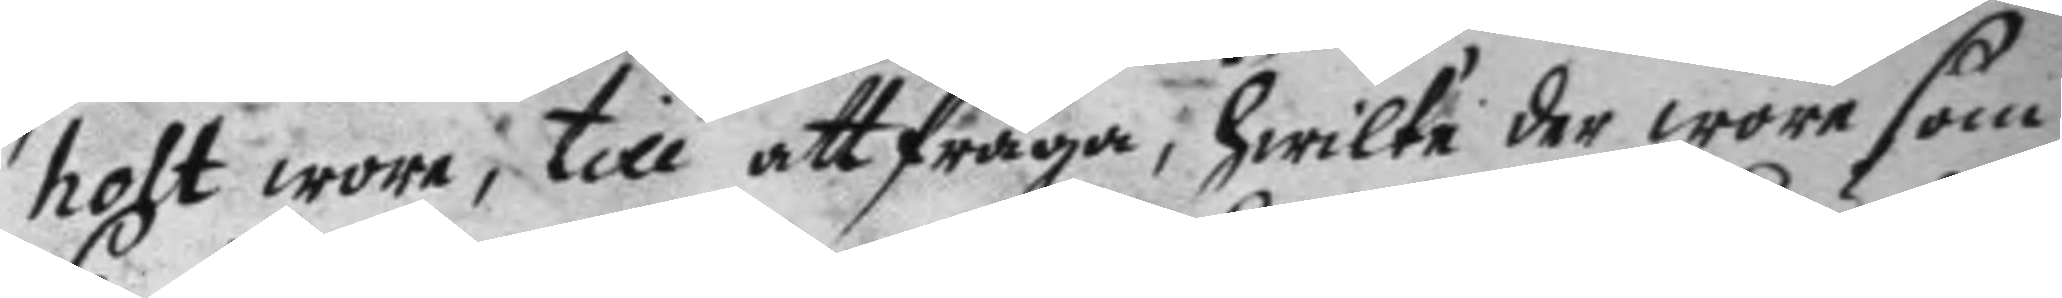holt wore, till att fråga, hwilka der wore som
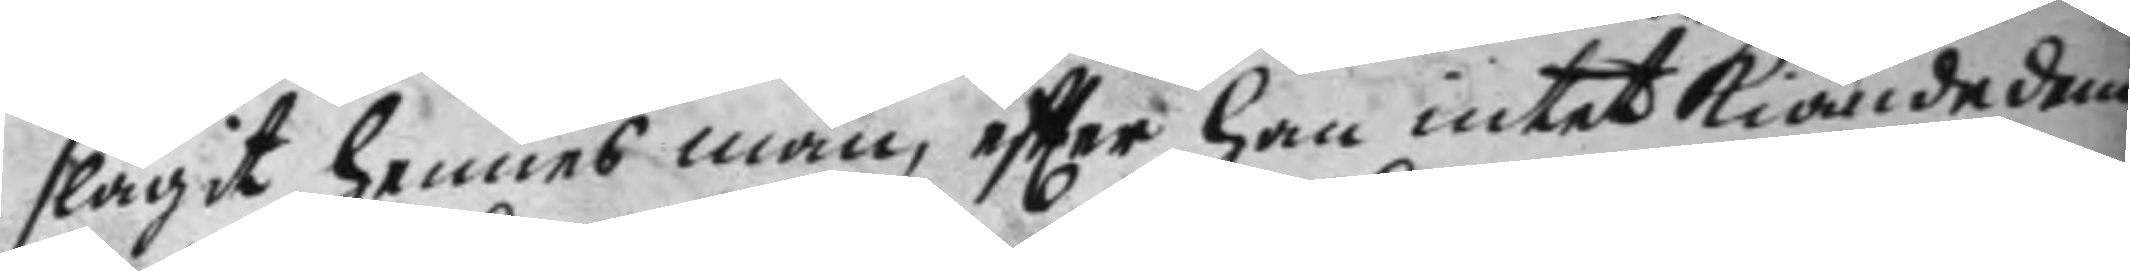slagit hennes man, eftter han intet kiände dem.
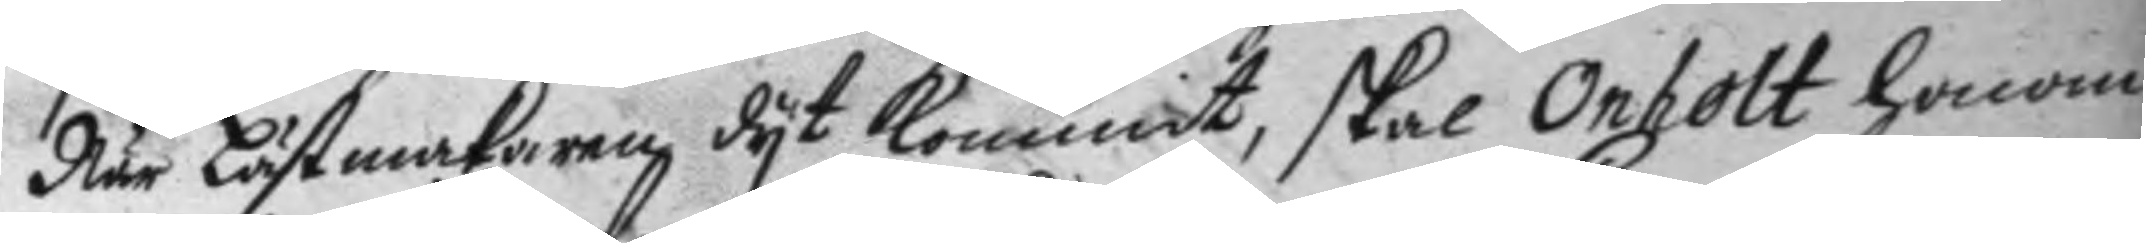När Lästmakaren dyr kommit, skal Omholt honom
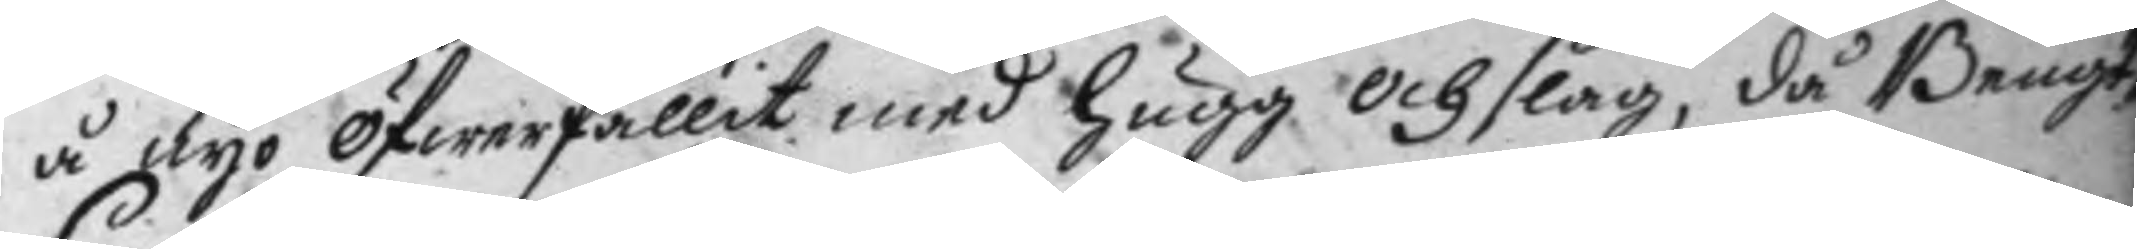å nyo öfwerfallit med hugg och slag, då Bengt¬
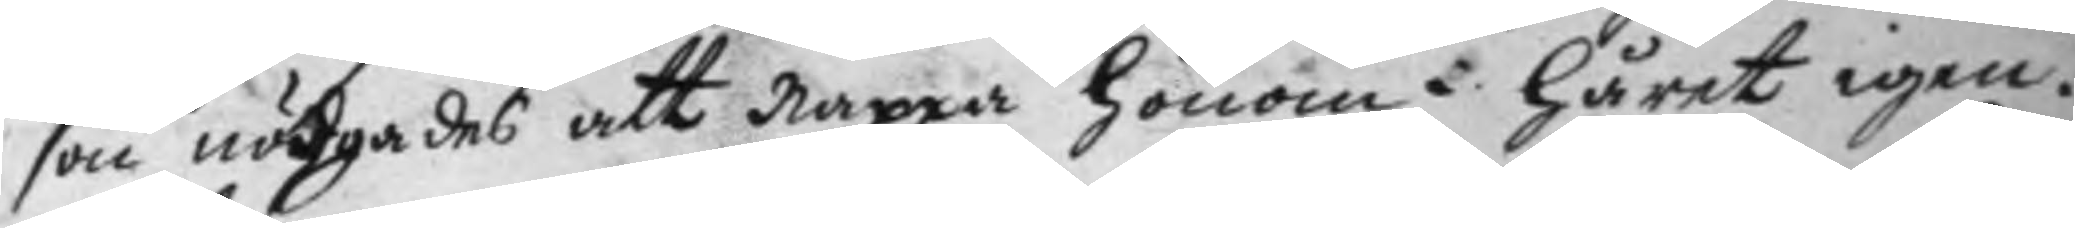son nödgades att nappa honom i håret igen.
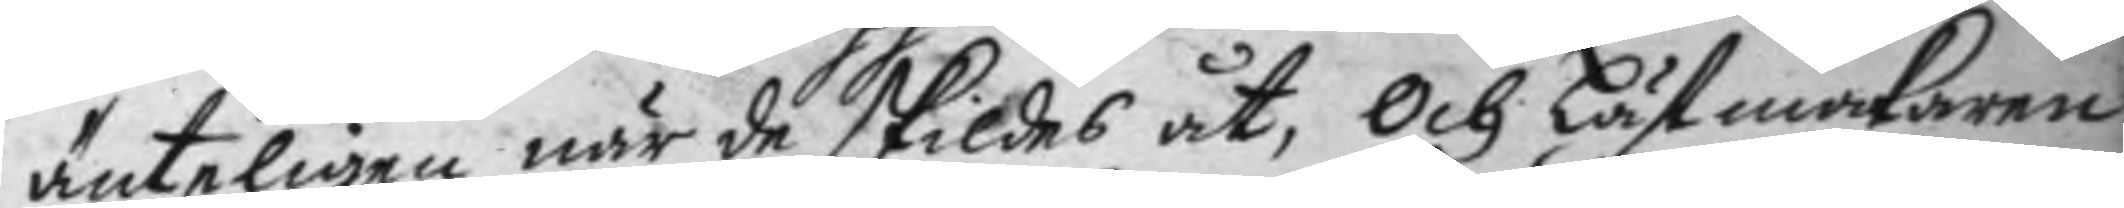änteligen när de skildes åt, och Lästmakaren
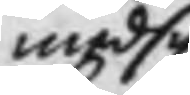med sin
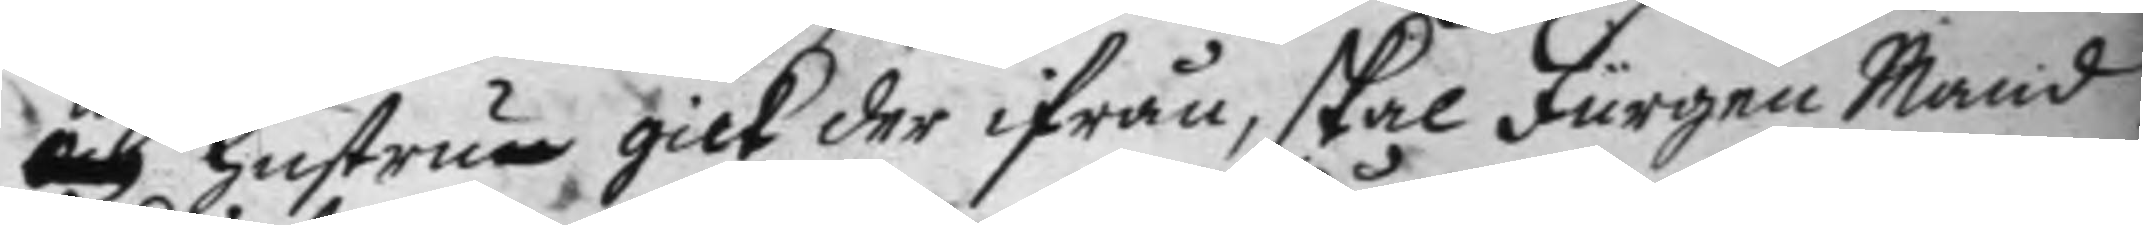och hustrun gick der ifrån, skal Jurgen Mand
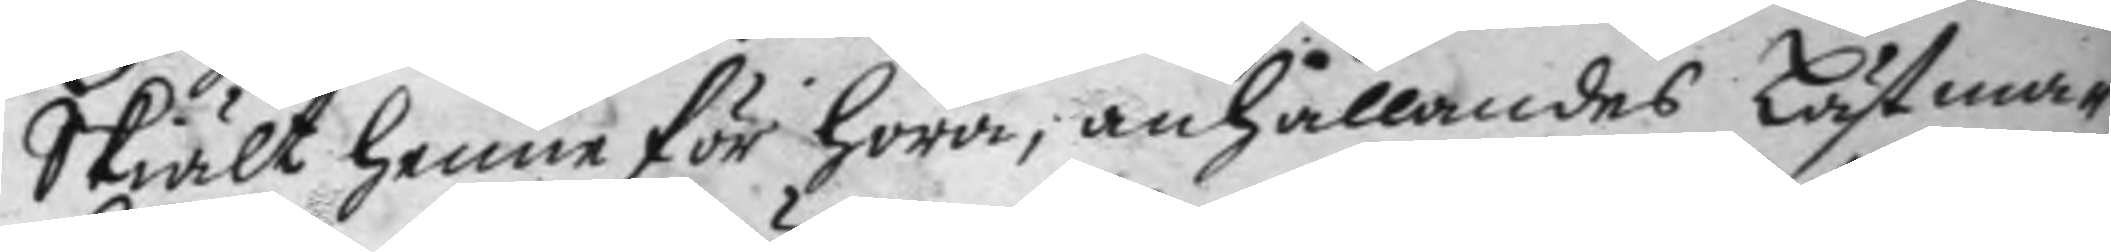Skiält henne för hora, anhållandes Lästma¬
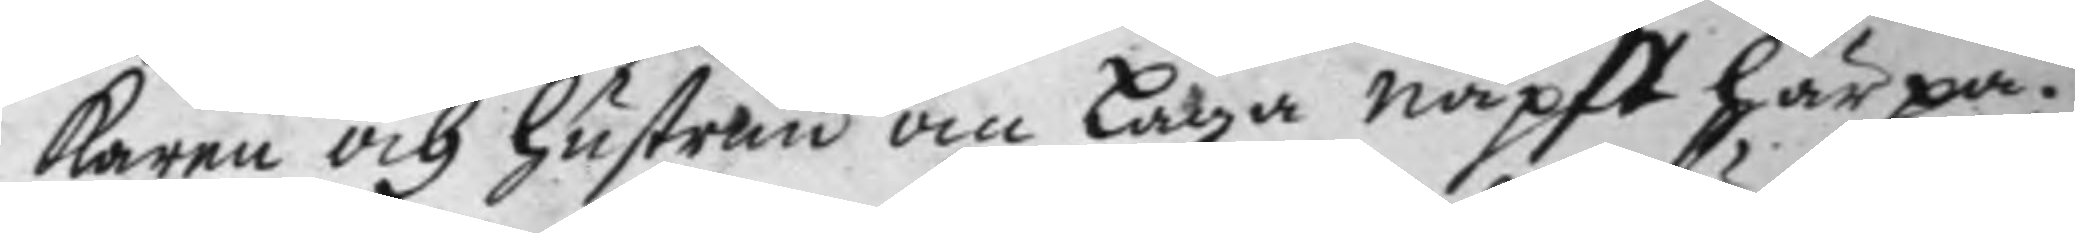karen och hustrun om laga näpst härpå.
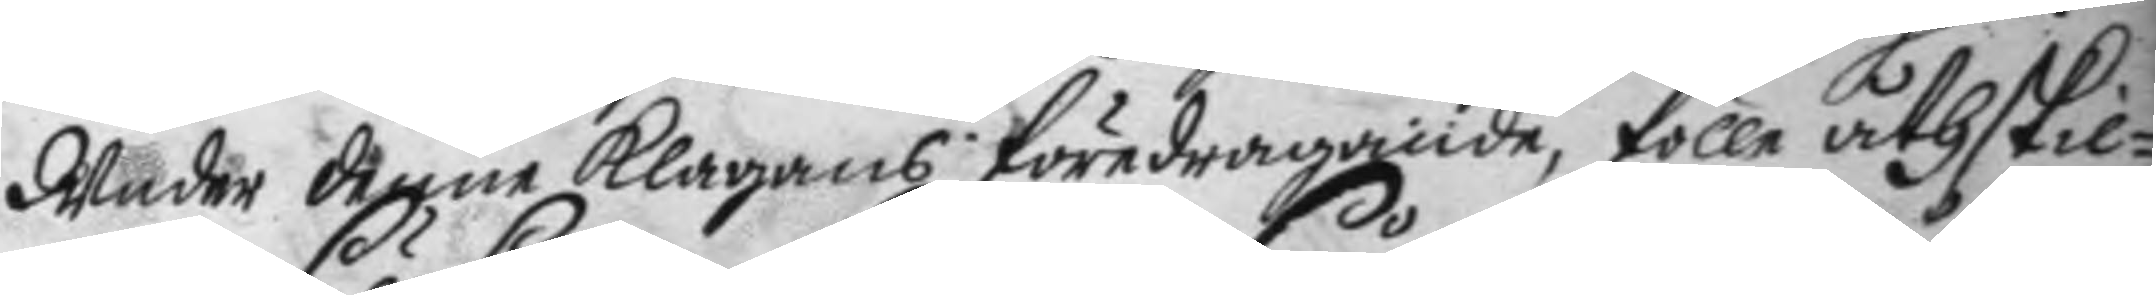Under denne klagans föredragande, fölle åthskil¬
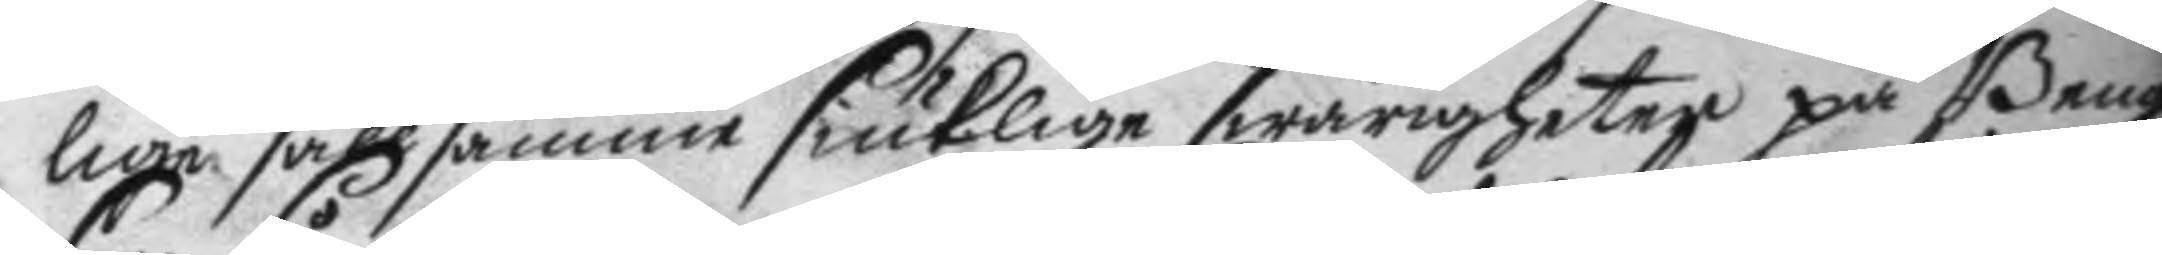lige sällsamme siuklige swårigheter på Bengt¬
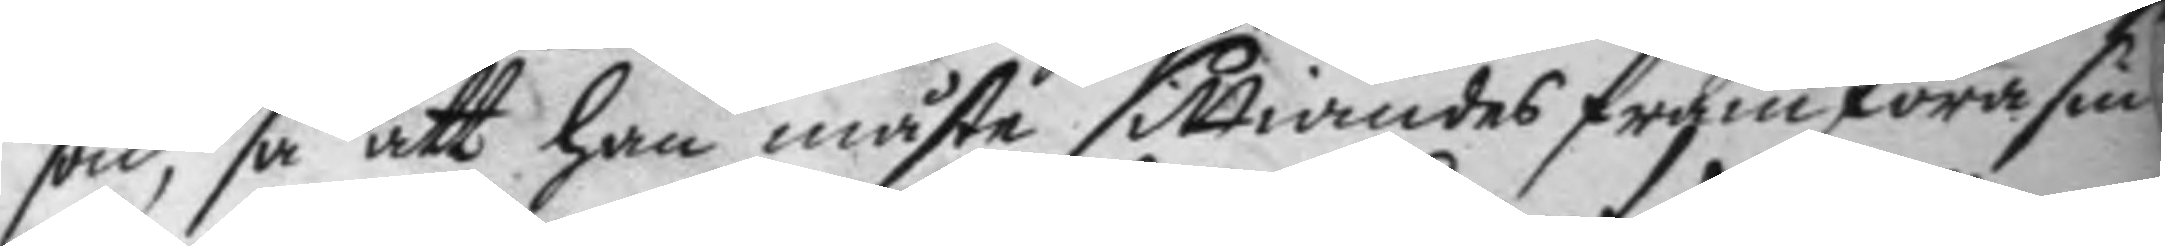son, så att han måste sittiandes framföra sin
